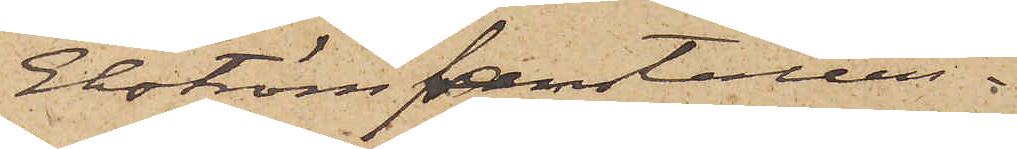Ekström framställas.
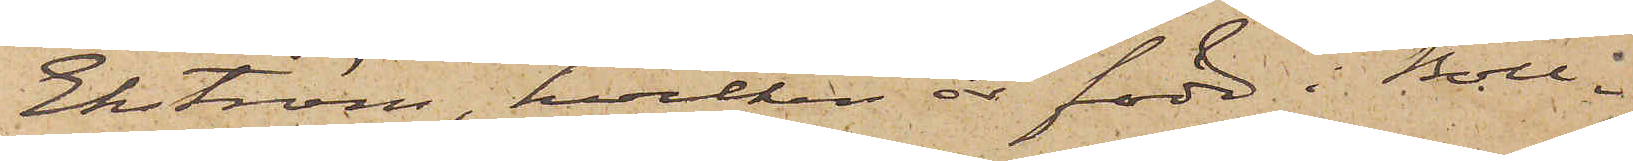Ekström, hvilken är född i Boll¬
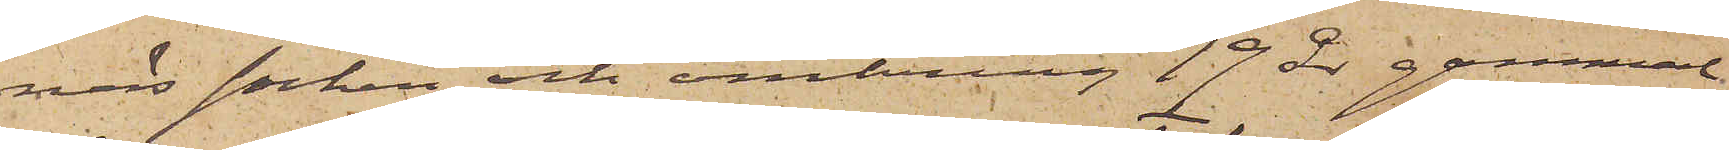näs socken och omkring 19 år gammal,
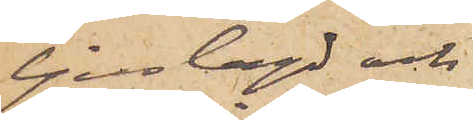ljuslagd och
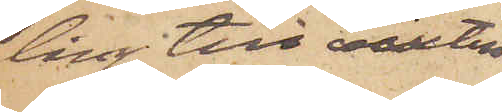lång till växten
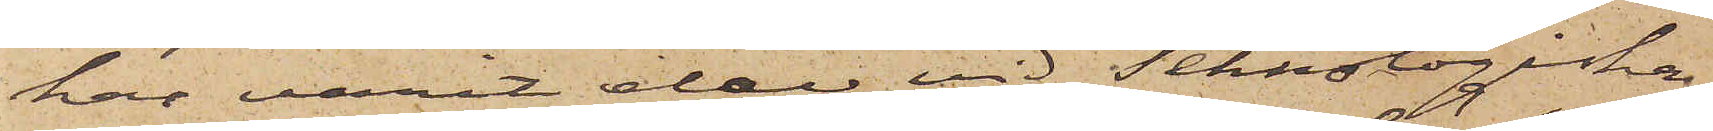har varit elev vid Teknologiska
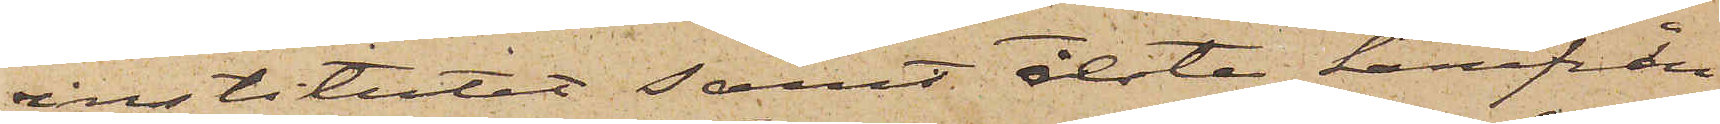institutet samt åkte härifrån
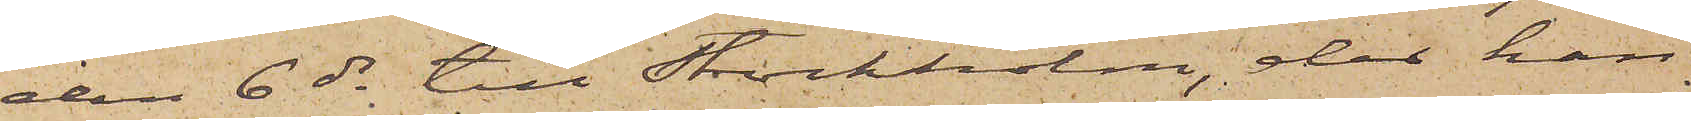den 6 ds till Stockholm, dit han
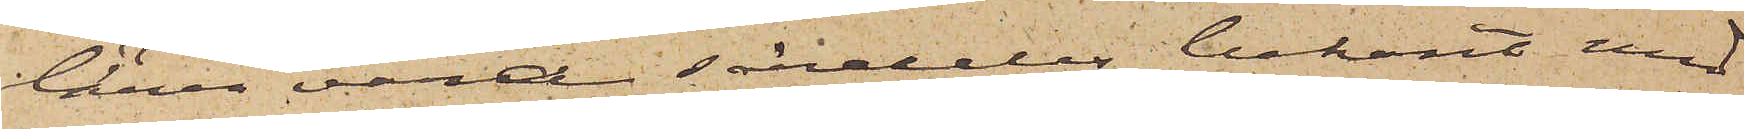lärer vara särdeles bekant med
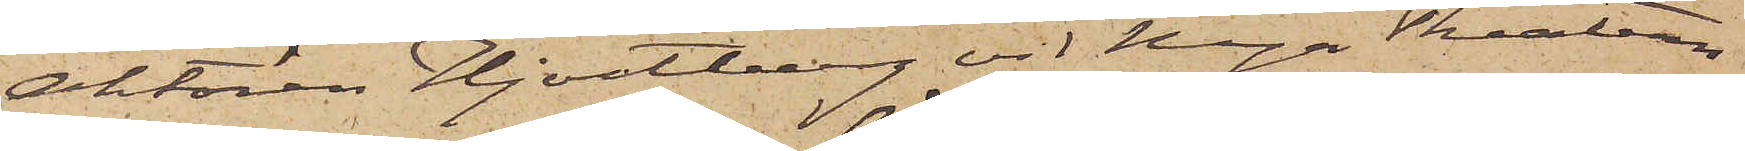Aktören Hjortberg vid Nya Theatern.
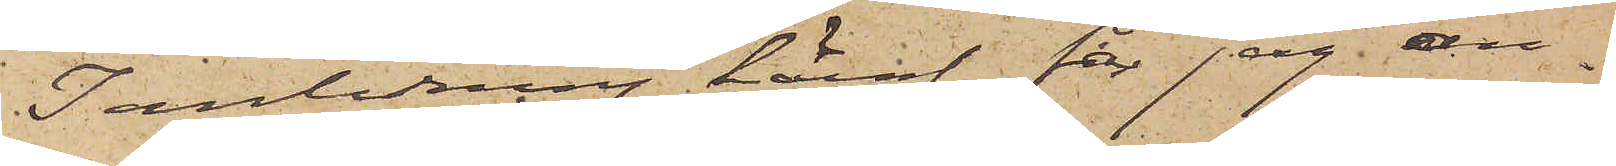I anledning häraf får jag an¬
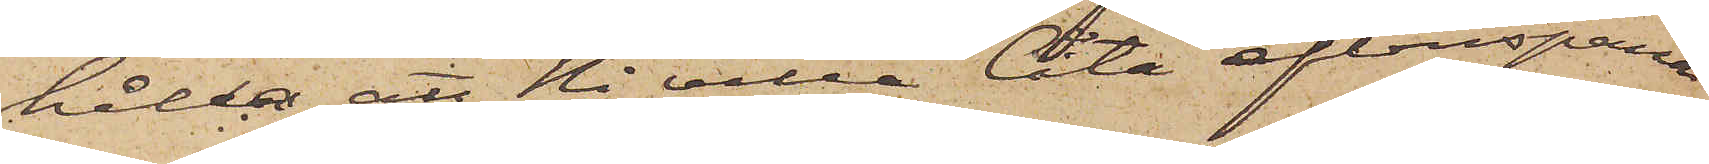hålla att Ni villa låta efterspana
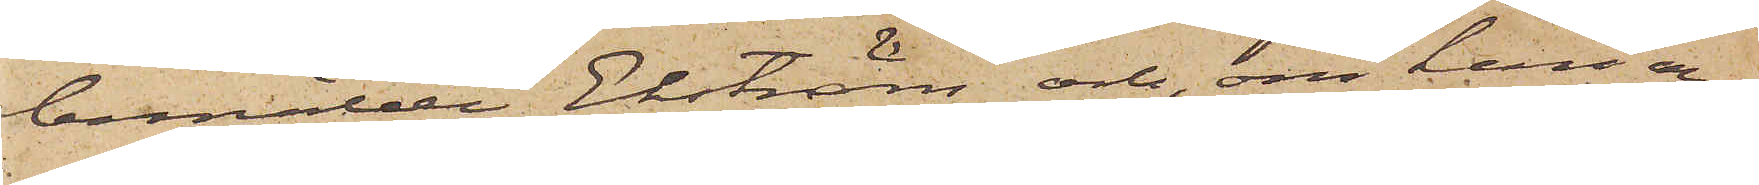bemälde Ekström och om han an¬
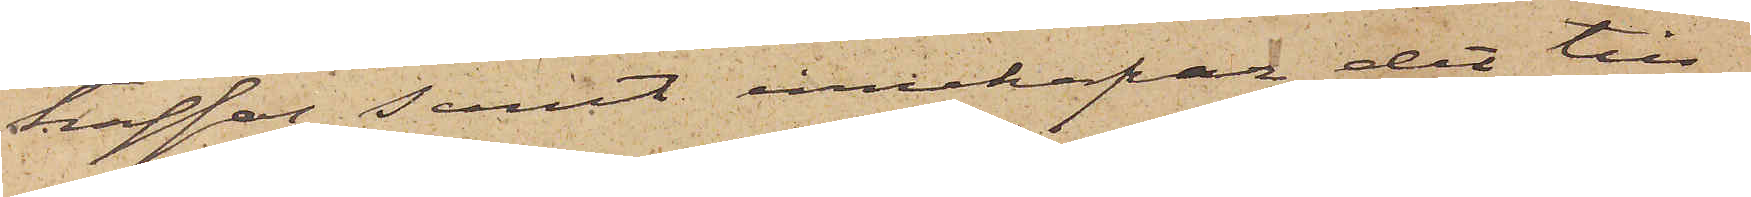träffas, samt innehafver det till¬
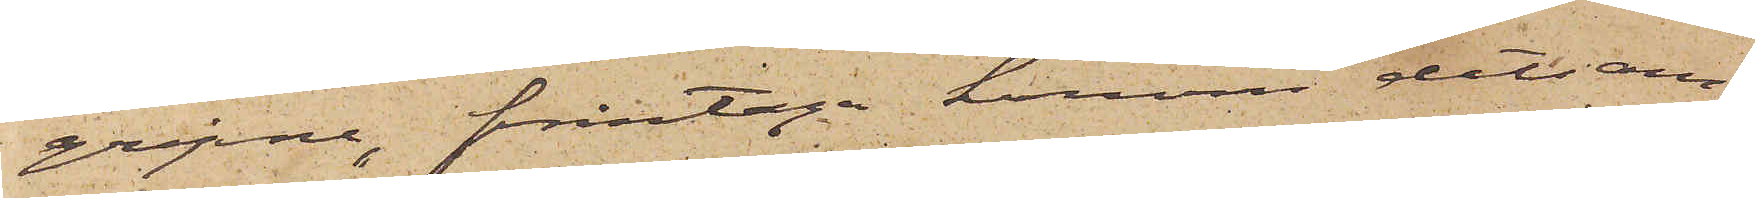gripne, fråntaga honom detsam¬
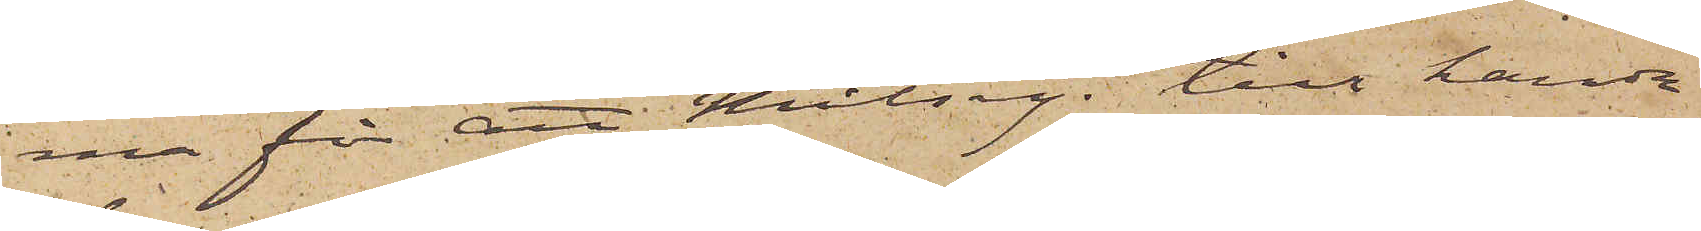ma för att Målseg. till handa
